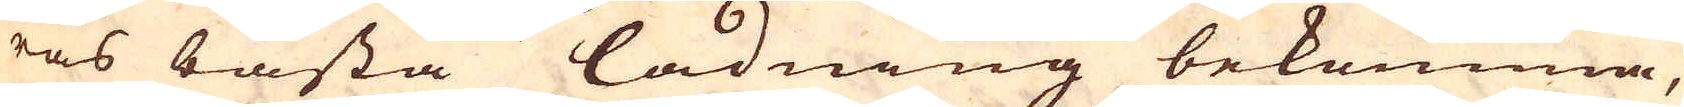ras bästa ladning bekomma,
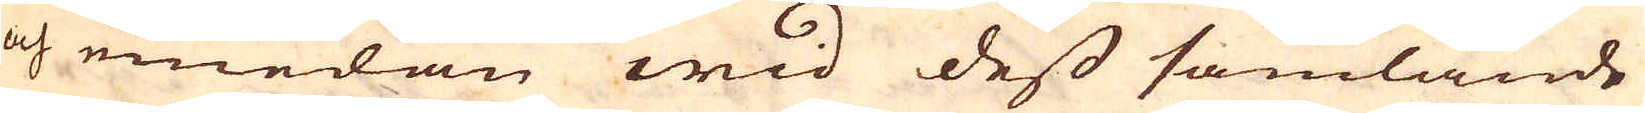och emedan wid dess samlande
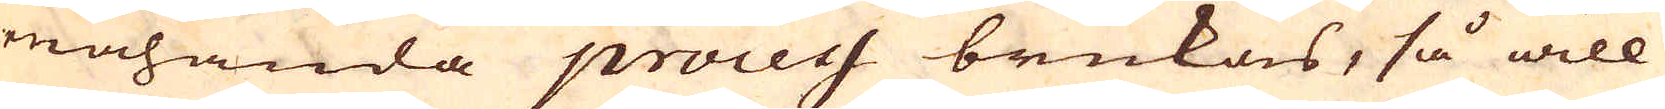mahanda procecs brukas, så will
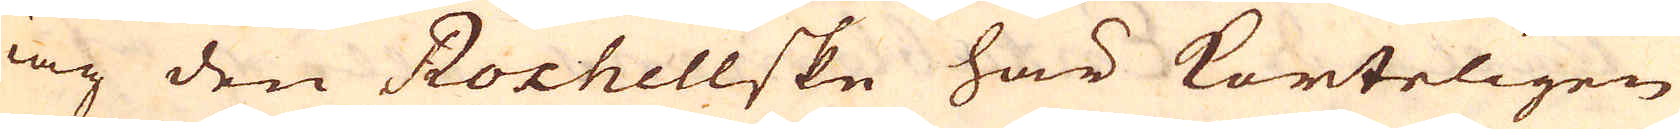iag den Rochellske här korteligen
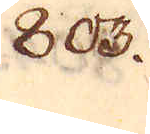803.
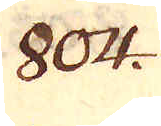804.
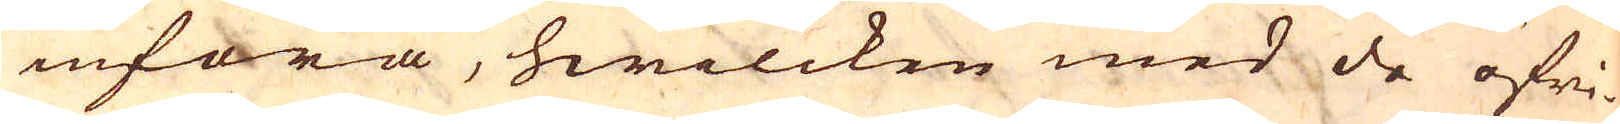införa, hwilcken med de öfri-
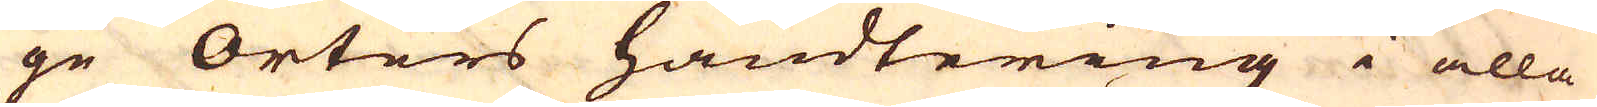ge Orters handtering i alla
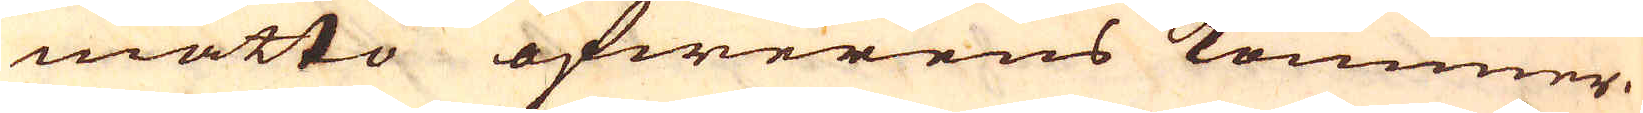måtto öfwerens kommer.
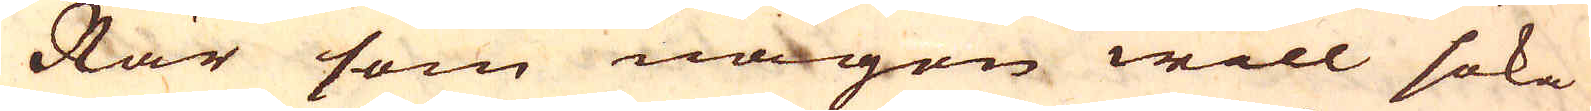När som någon will söka
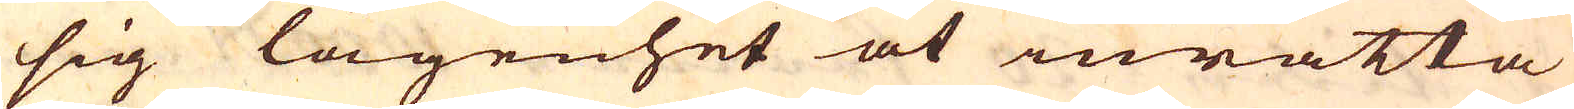sig lägenhet at inrätta
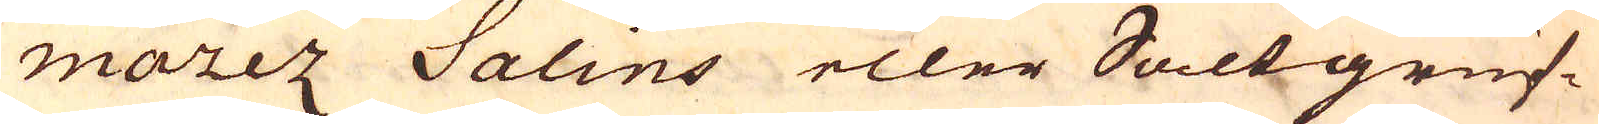marez Salins eller Saltgruf-
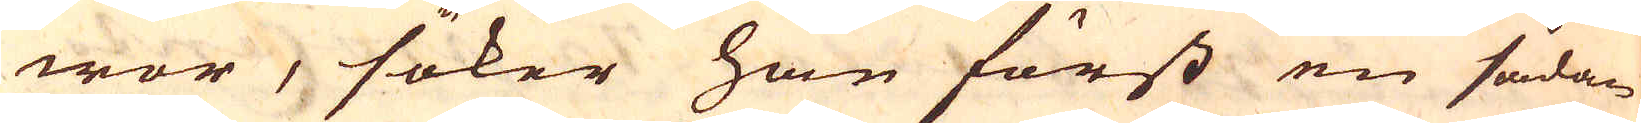wor, söker han först en sådan
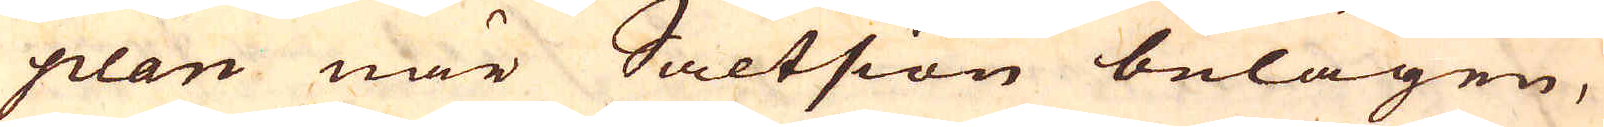plan när Saltsiön belägen,
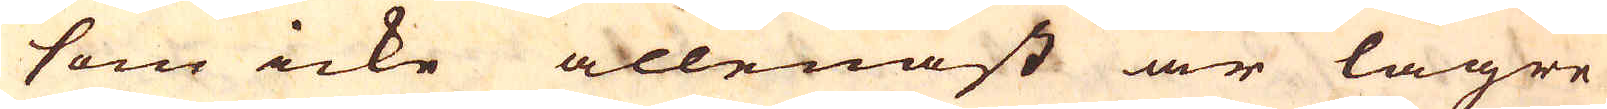som icke allenast är lägre
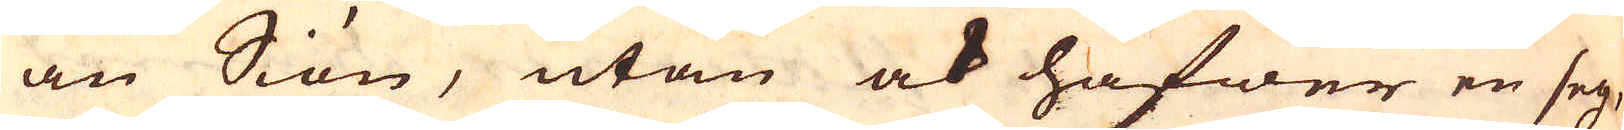än Siön, utan ock hafwer en seg,
